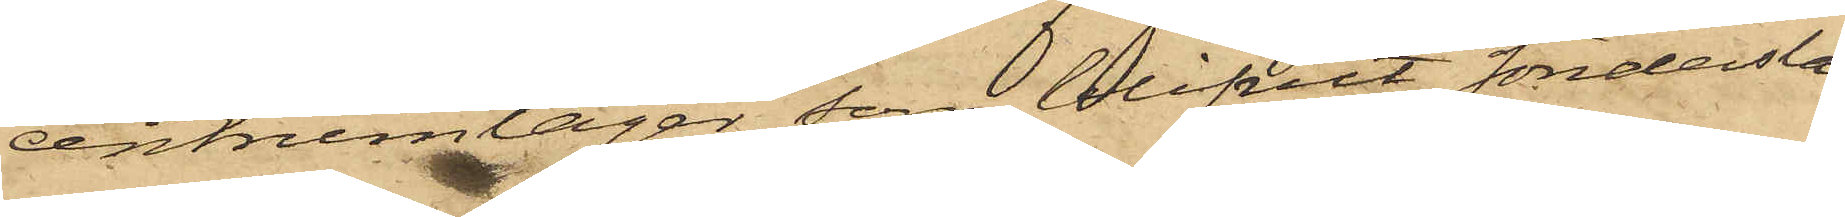centrumlager, som blifvit söndersla¬
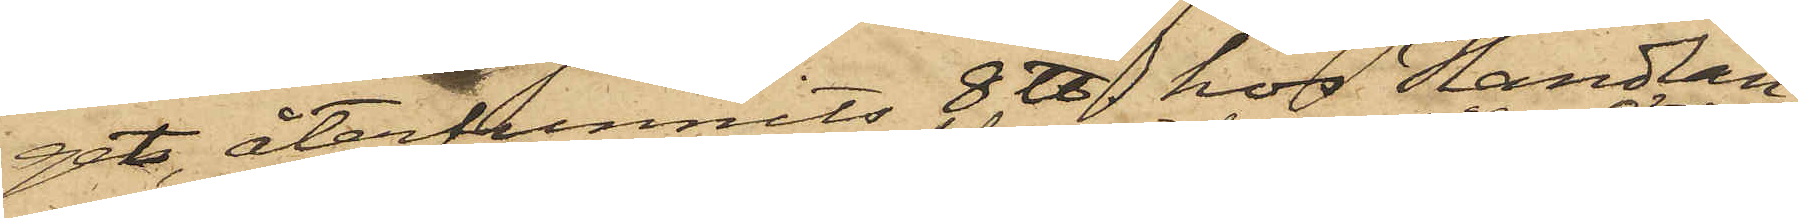get, återfunnits 8 ℔ hos Handlan¬
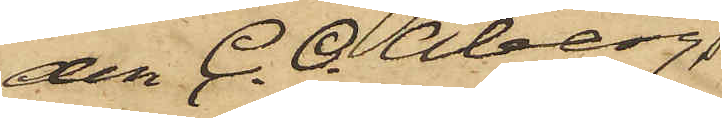den C. O. Åberg,
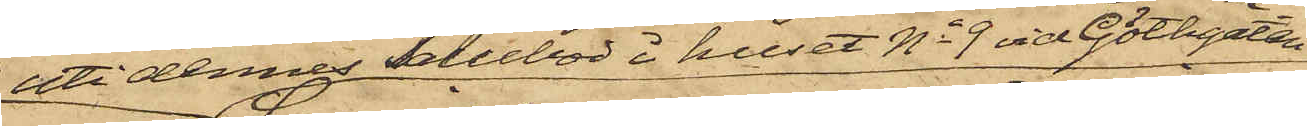uti dennes Salubod i huset No 9 vid Göthgatan,
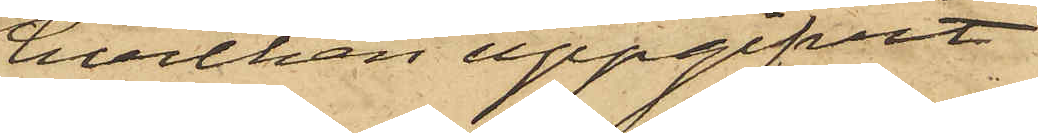hvilken uppgifvit
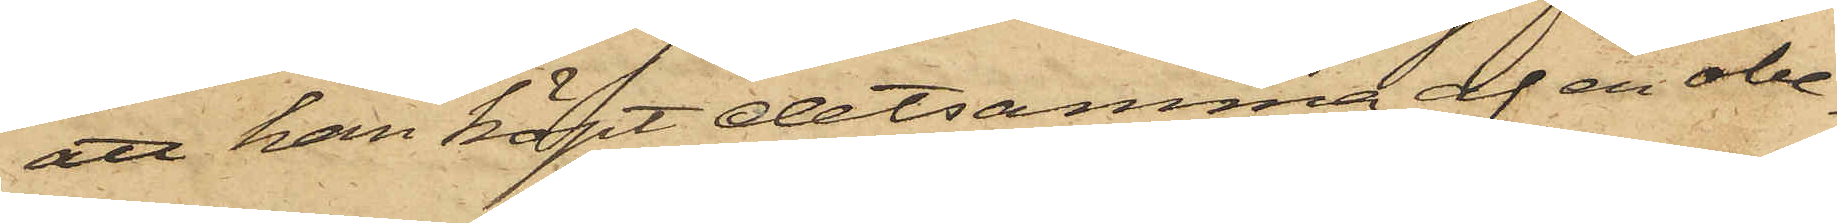att han köpt detsamma af en obe¬
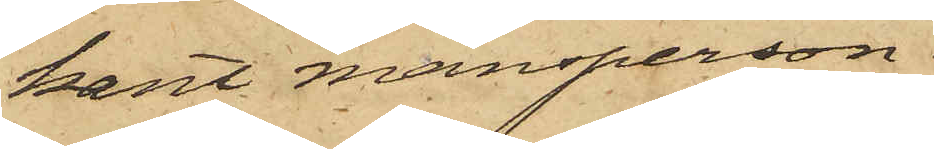kant mansperson.
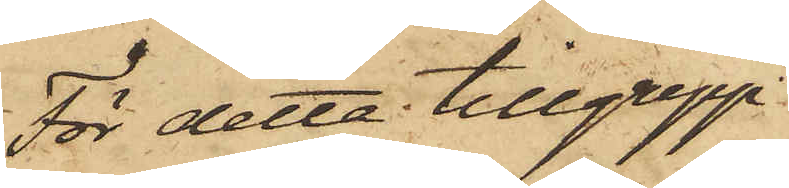För detta tillgrepp
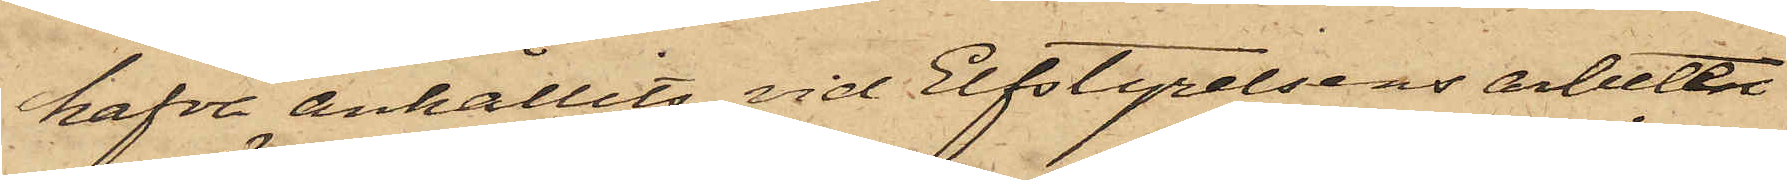hafva anhållits vid Elfstyrelsens arbeten
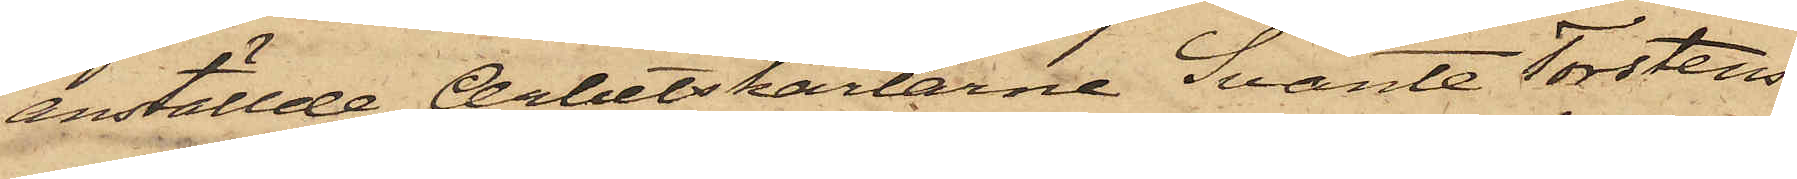anställde Arbetskarlarne Svante Torstens¬
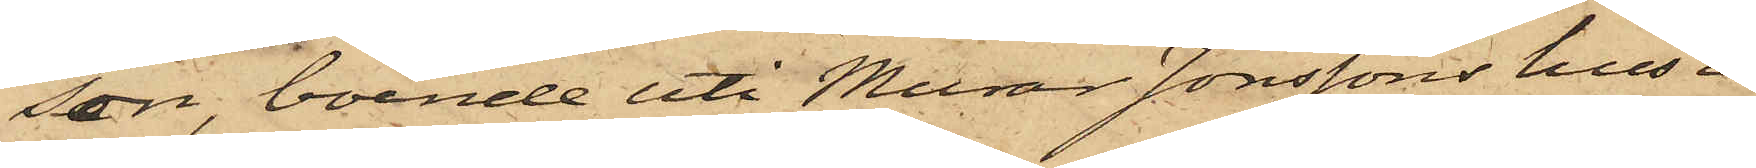son, boende uti Murar Jonssons hus i 
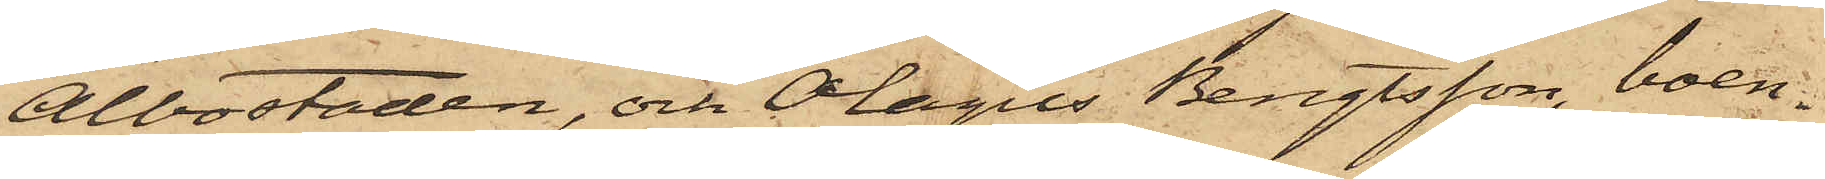Albostaden, och Olagus Bengtsson, boen¬
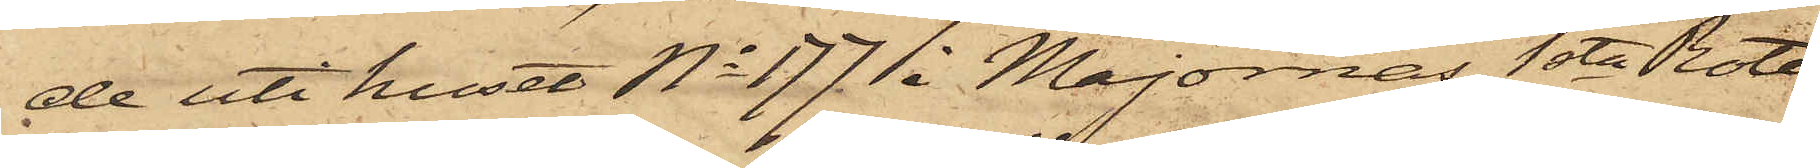de uti huset No 177 1 i Majornas 1sta Rote,
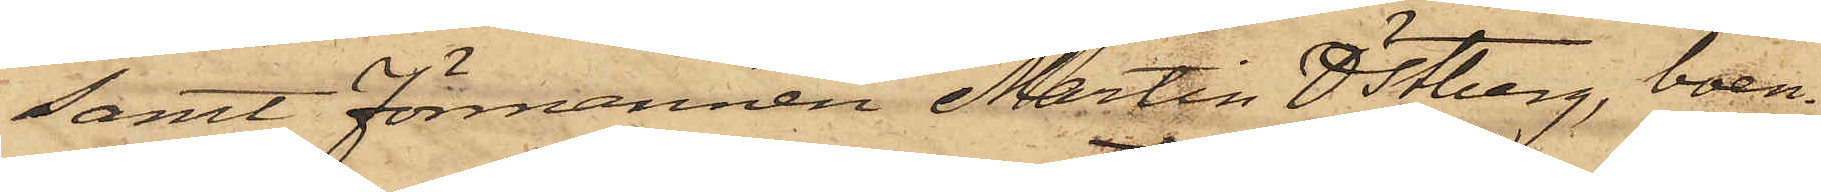samt Förmannen Martin Östberg, boen¬
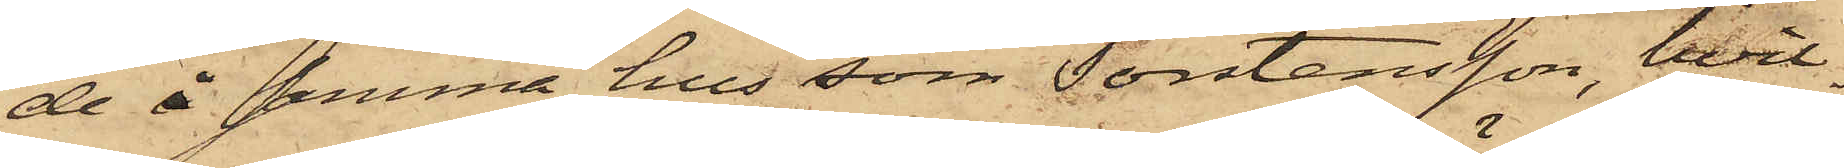de å samma hus som Torstensson, hvil¬
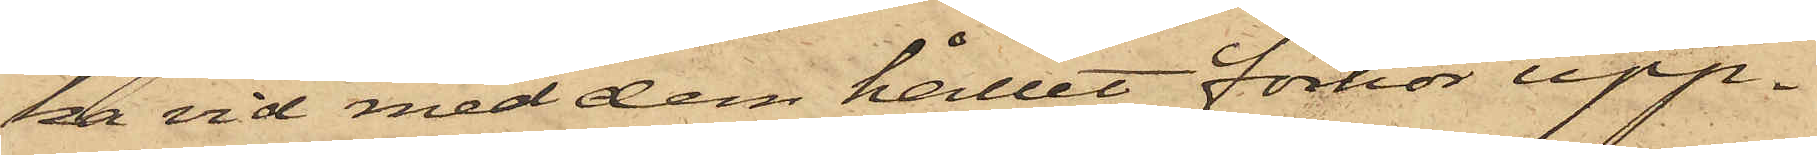 ka vid med dem hållet förhör upp¬
